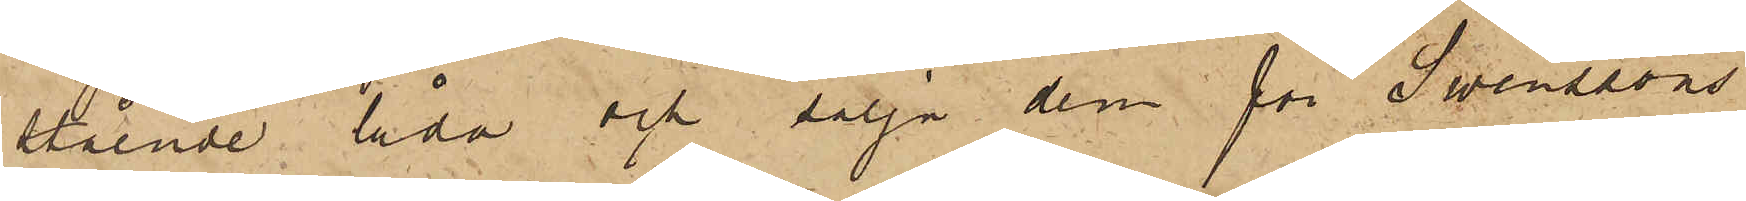stående låda och sälja dem för Swenssons
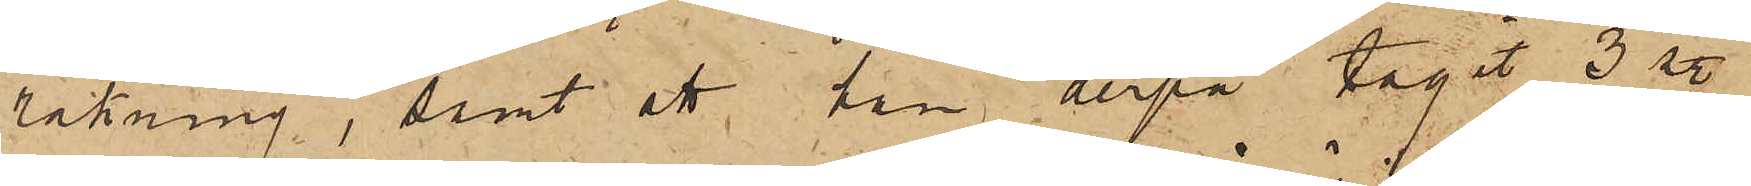räkning, samt att han derpå tagit 3 st.
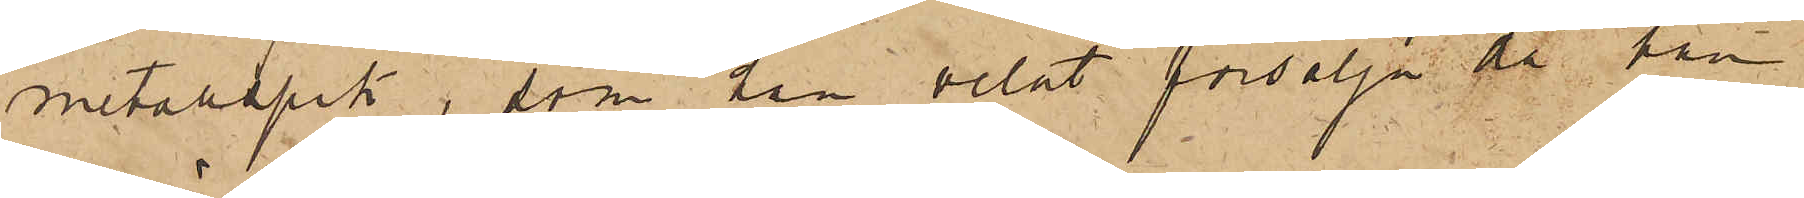metallspik, som han velat försälja då han
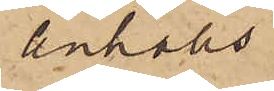anhölls.
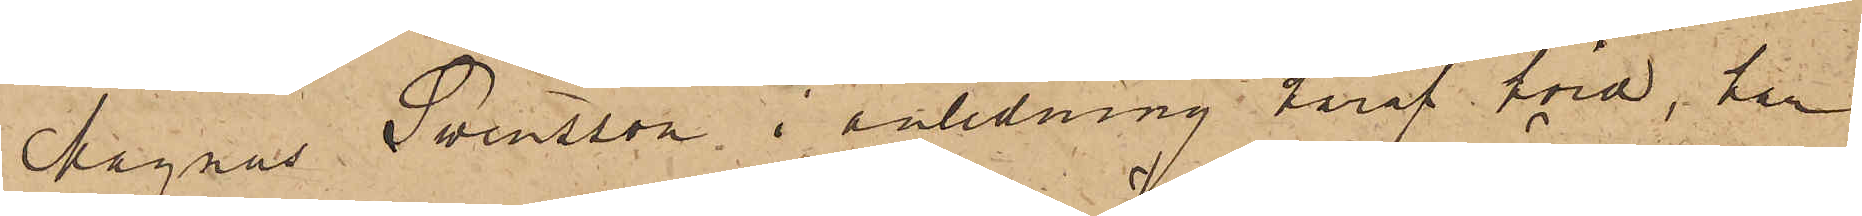Magnus Swensson, i anledning häraf hörd, har
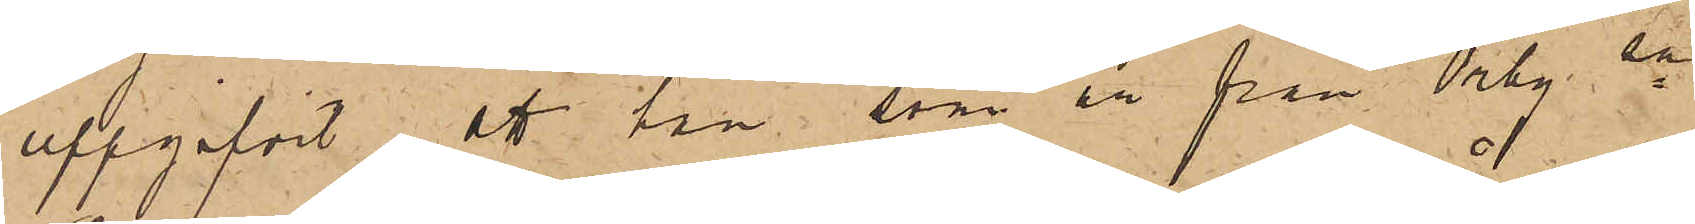uppgifvit att han, som är från Örby sn
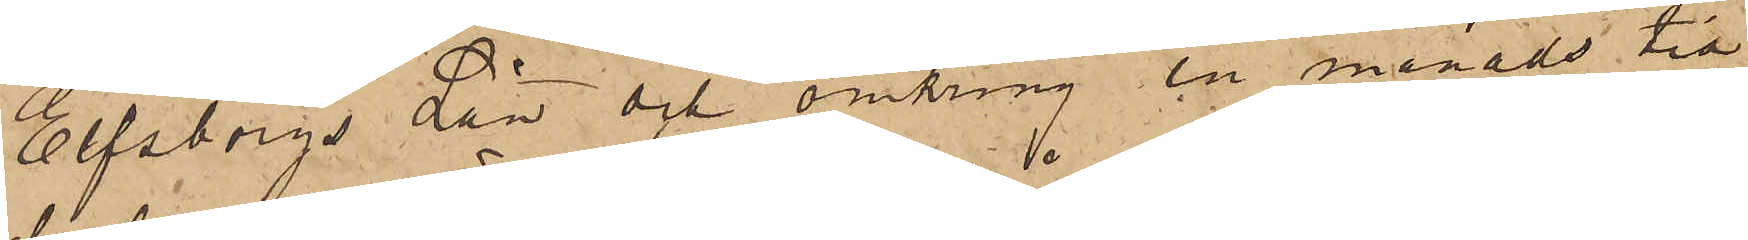Elfsborgs Län och omkring en månads tid
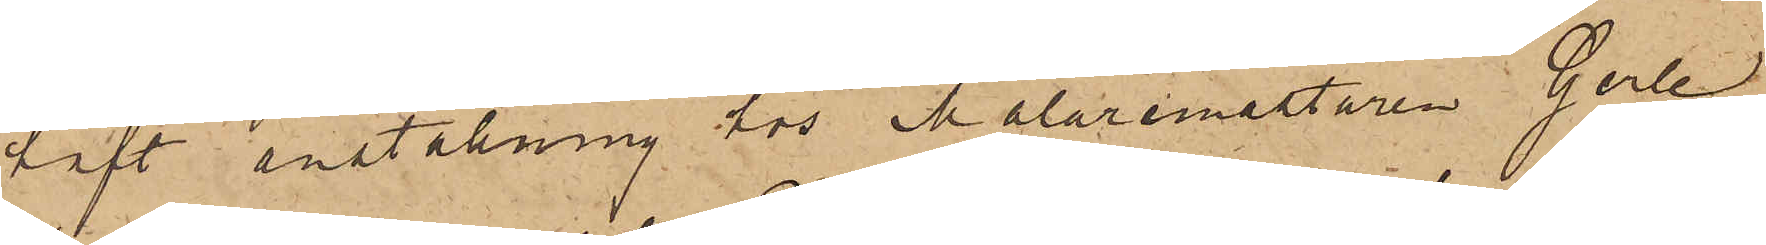haft anställning hos Målaremästaren Gerle
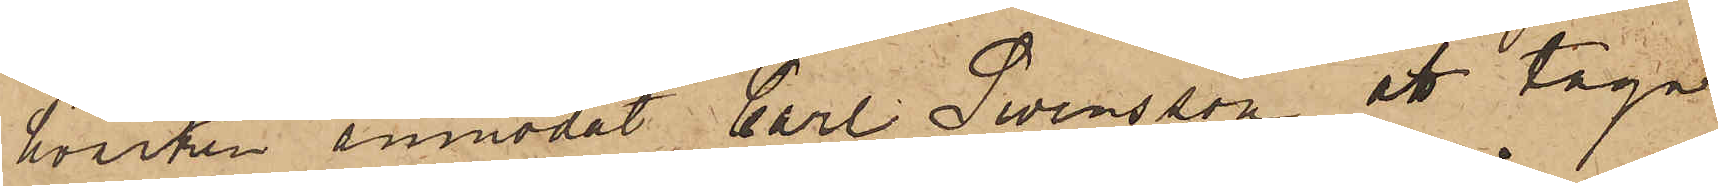hvarken anmodat Carl Swensson att taga
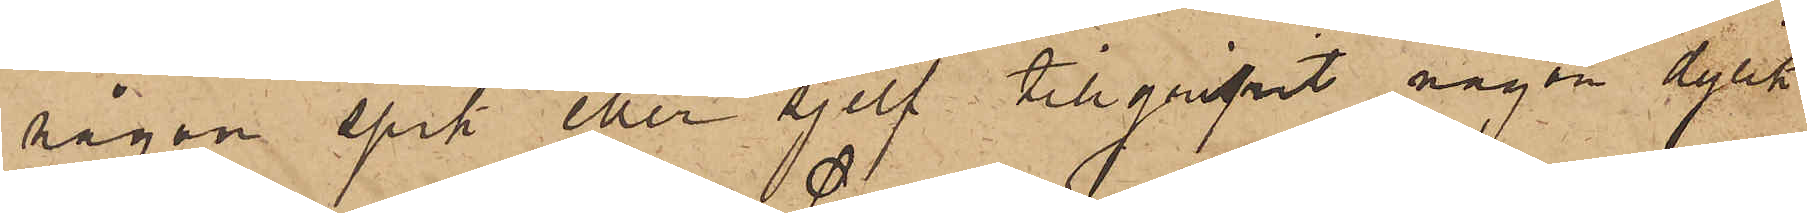någon spik eller sjelf tillgripit någon dylik
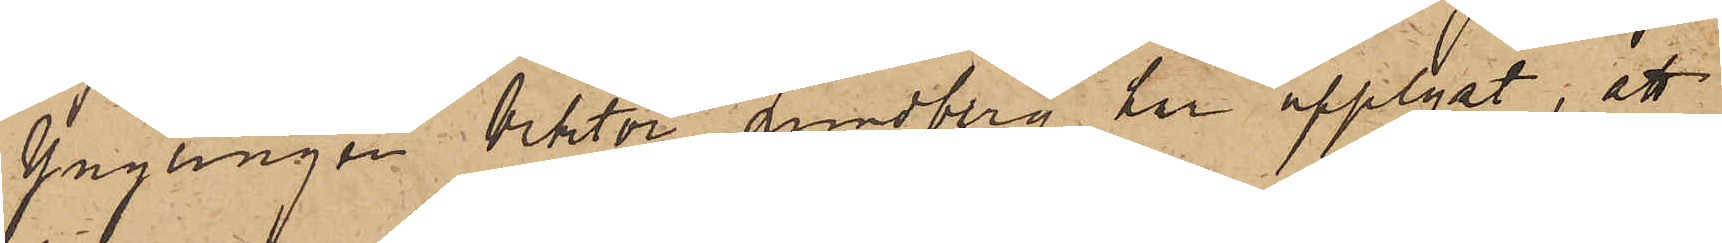Ynglingen Viktor Lundberg har upplyst, att
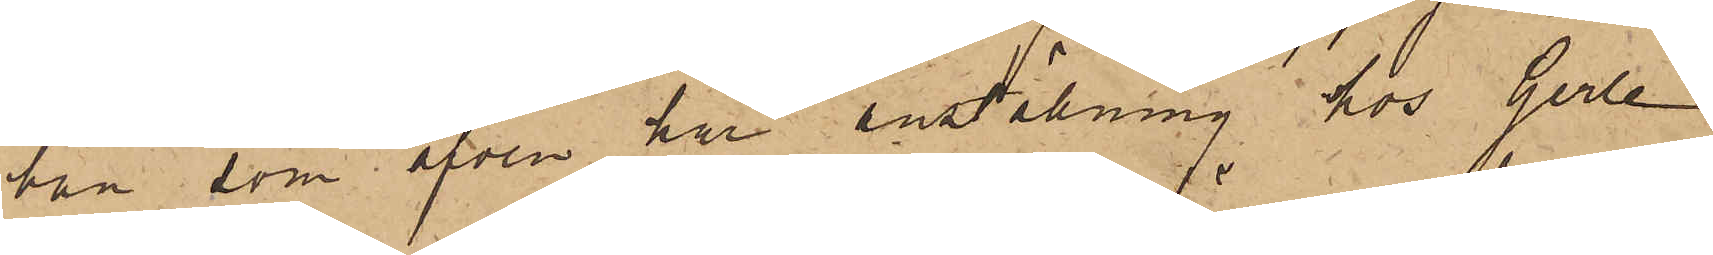han, som äfven har inställning hos Gerle
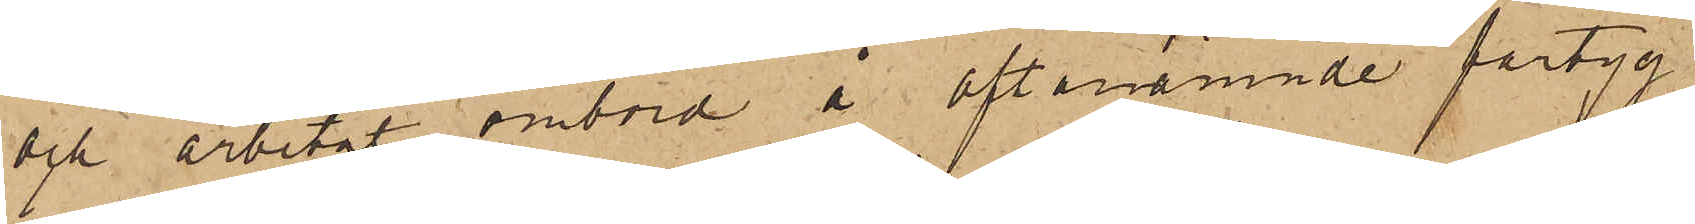och arbetat ombord å oftanämnde fartyg
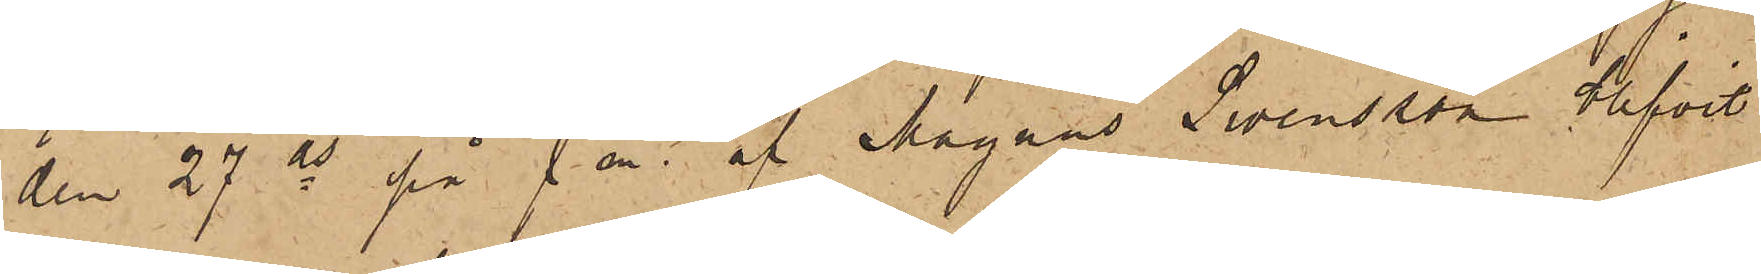den 27 ds på f m. af Magnus Svensson blifvit
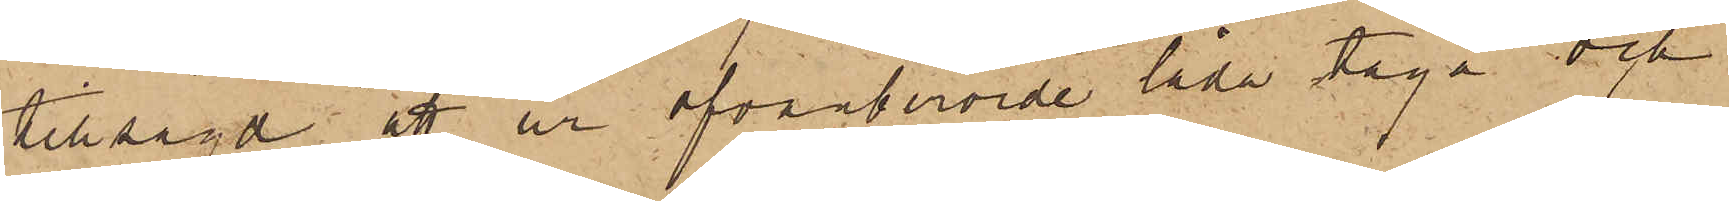tillsagd att ur ofvanberörde låda taga och
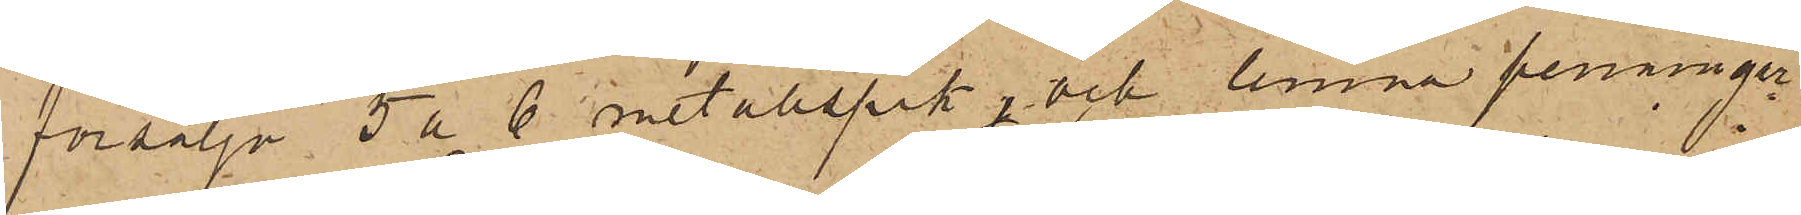försälja 5 a 6 metallspik, och lemna penningar¬
